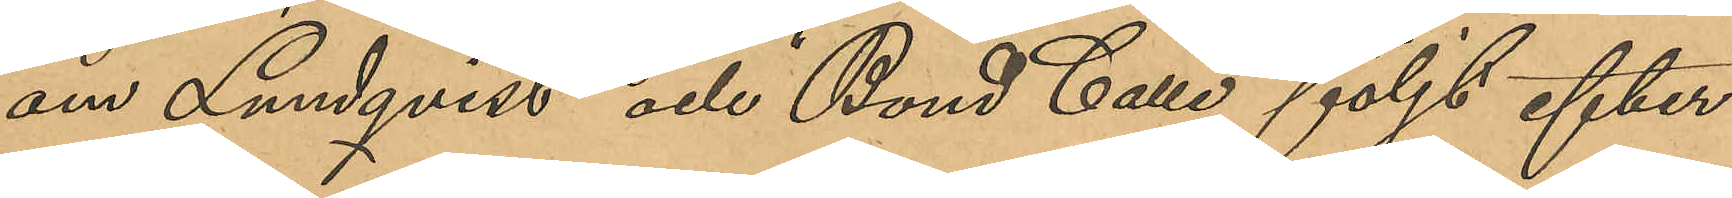om Lundqvist och "Bond Calle" följt efter
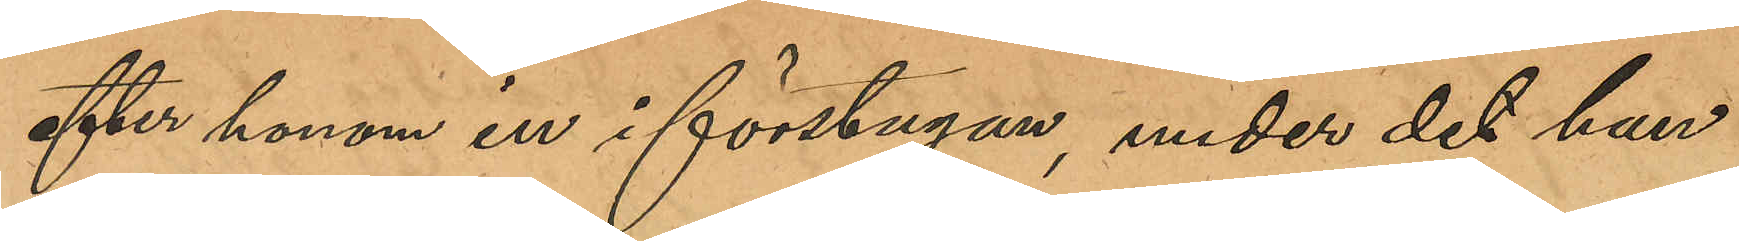efter honom in i förstugan, under det han
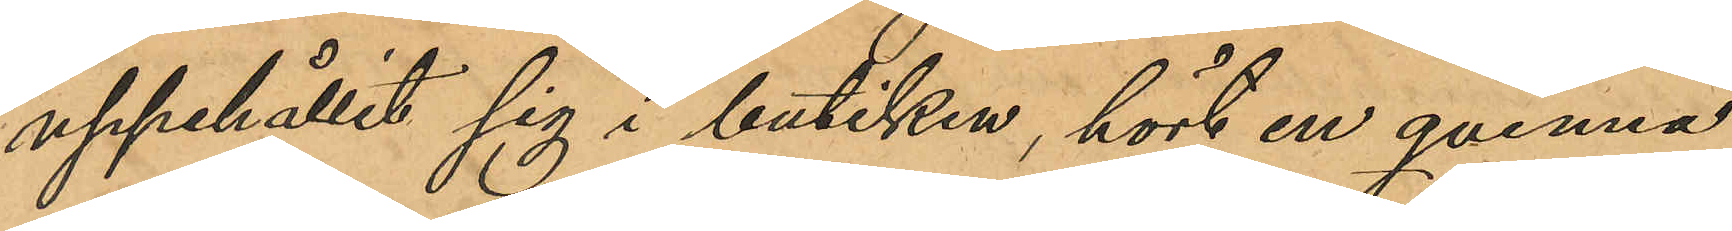uppehållit sig i butiken, hört en qvinna
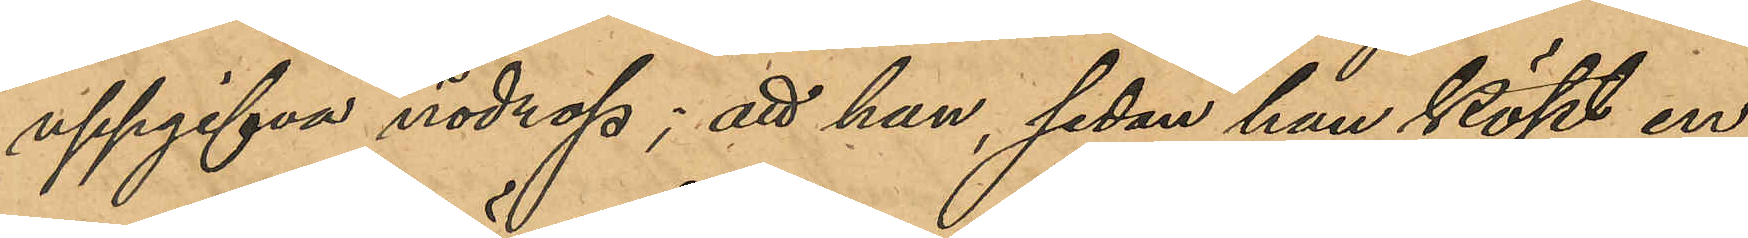uppgifva nödrop; att han sedan han köpt en
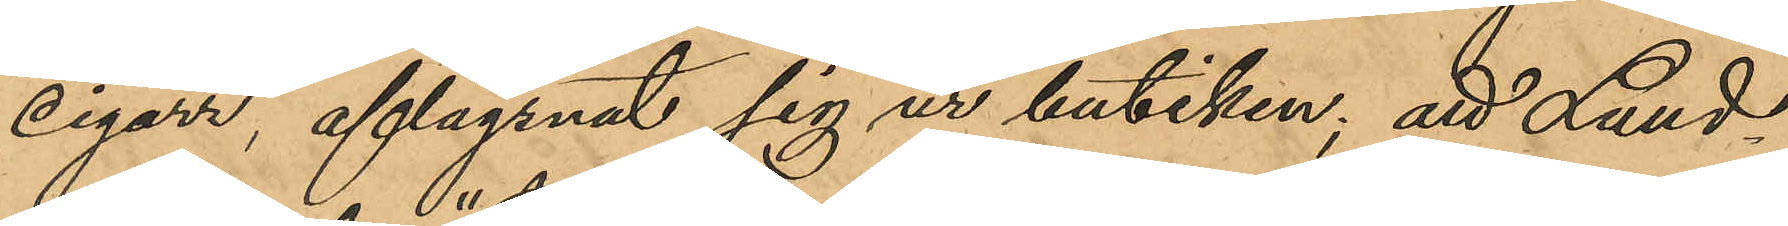cigarr aflägsnat sig ur butiken; att Lund¬
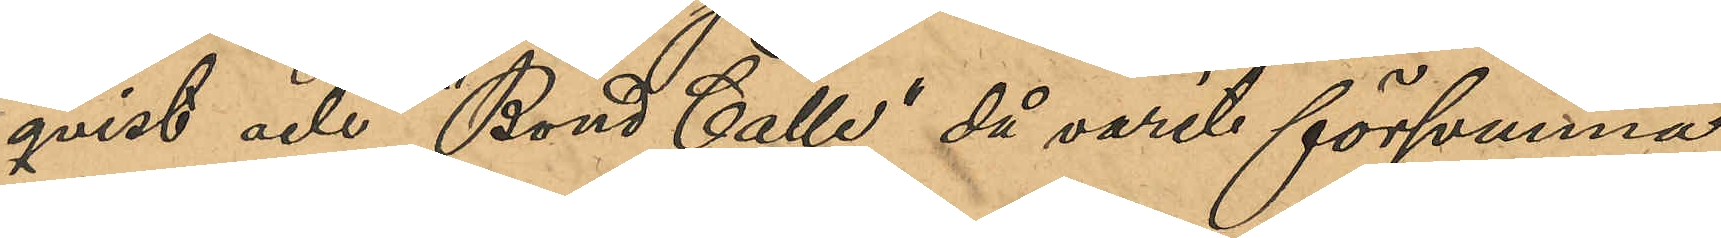qvist och "Bond Calle" då varit försvunna,
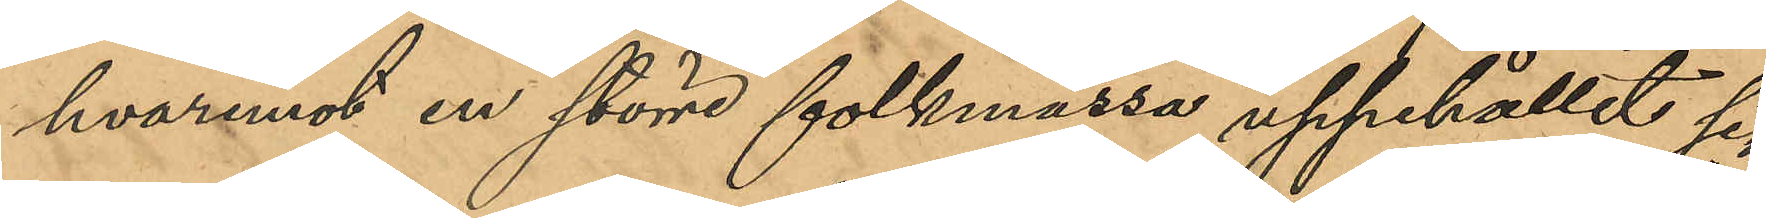hvaremot en större folkmassa uppehållit sig
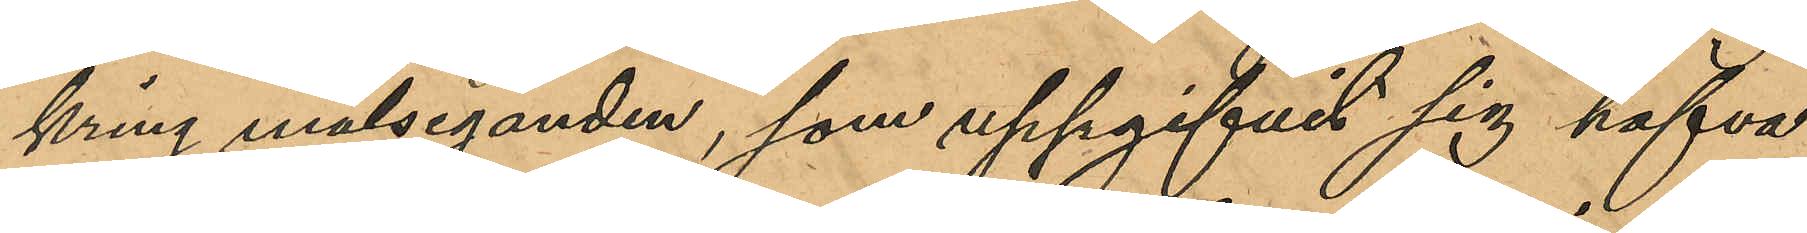kring målseganden, som uppgifvit sig hafva
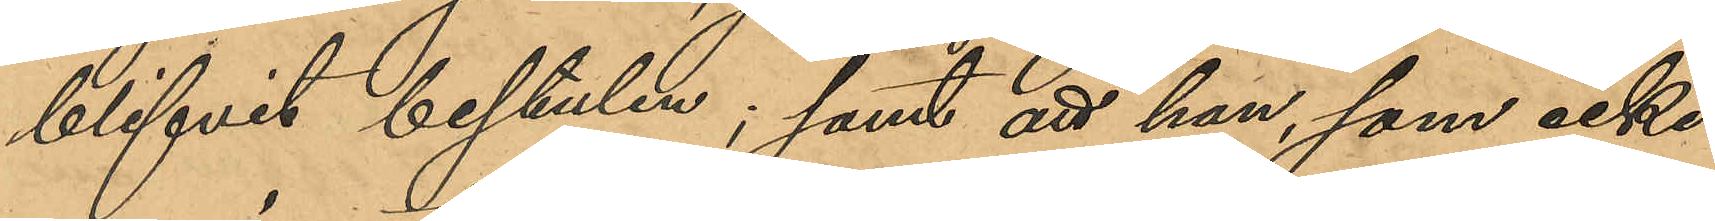blifvit bestulen; samt att han, som icke
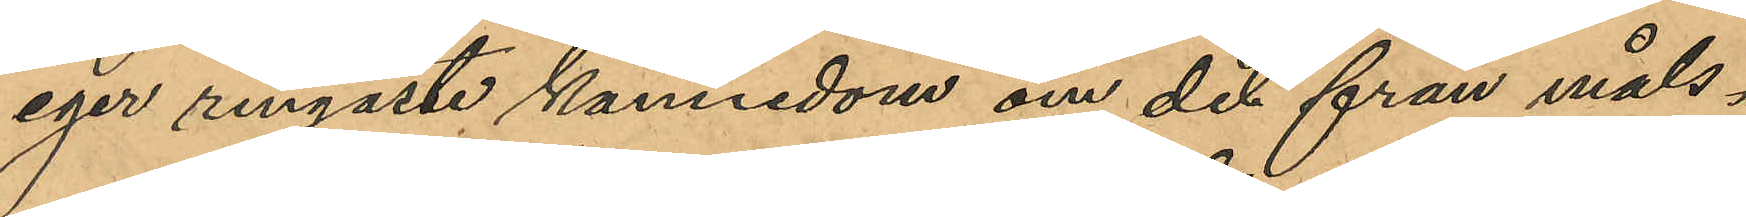eger ringaste kännedom om det från måls¬
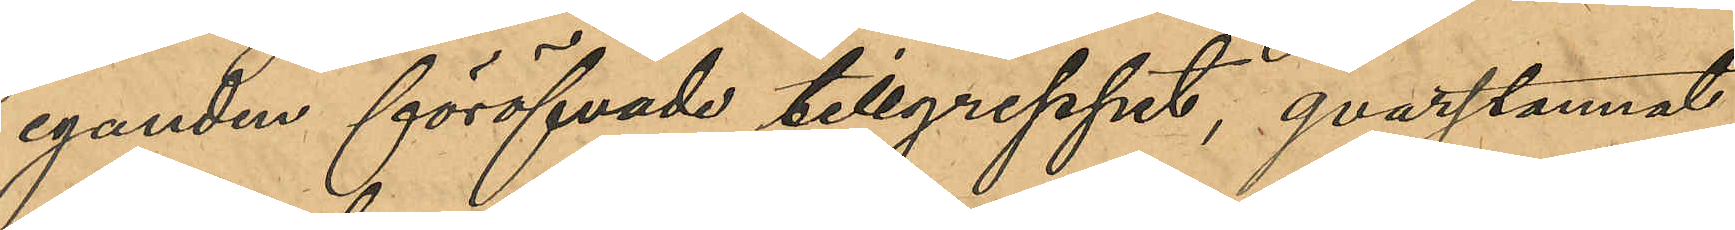eganden föröfvade tillgreppet, qvarstannat
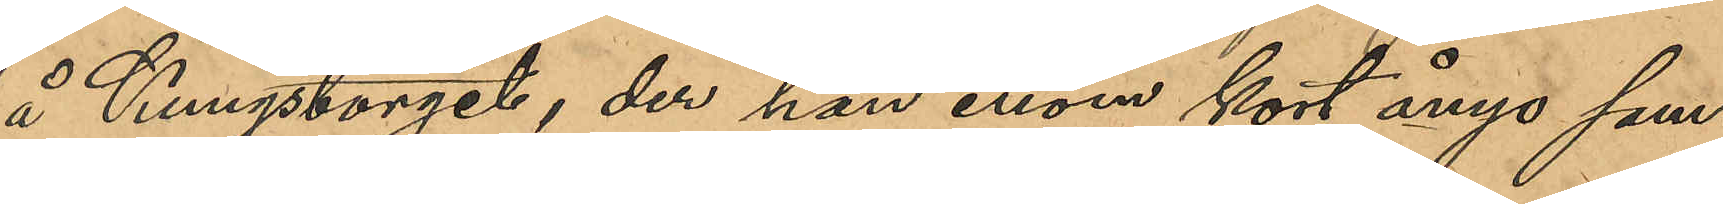å Kungstorget, der han inom kort ånyo sam¬
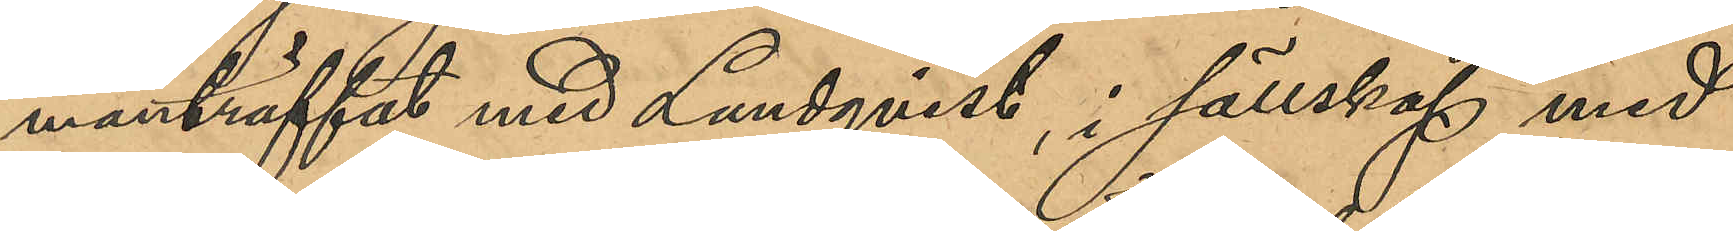manträffat med Lundqvist, i sällskap med
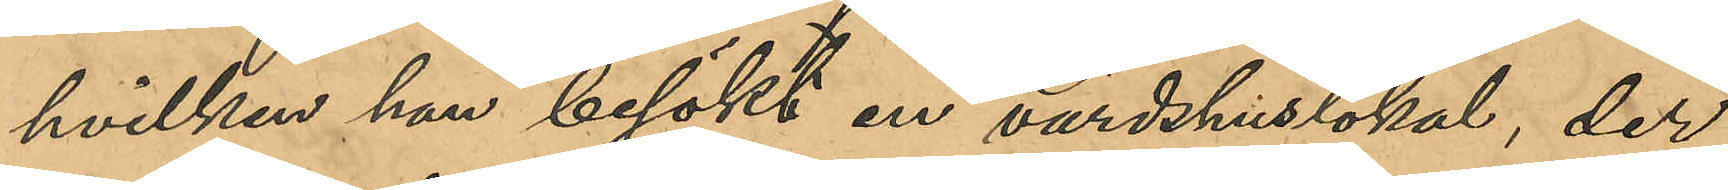hvilken han besökt en värdshuslokal, der
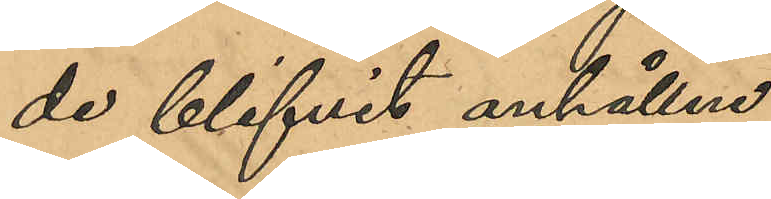de blifvit anhållne;
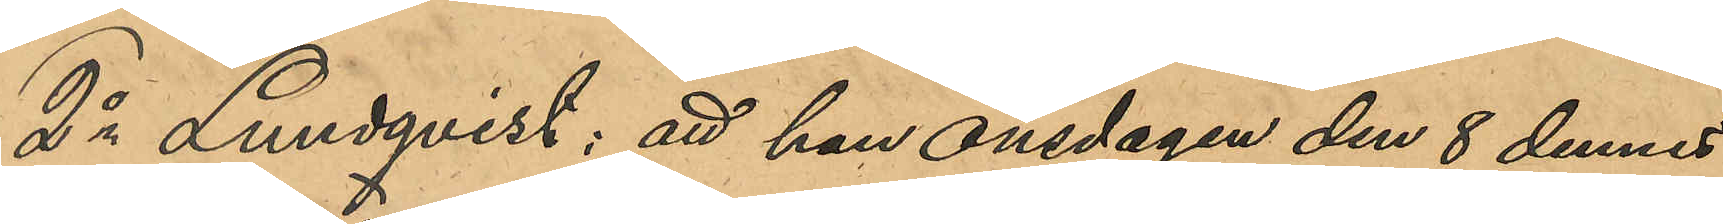2o Lundqvist; att han onsdagen den 8 dennes
